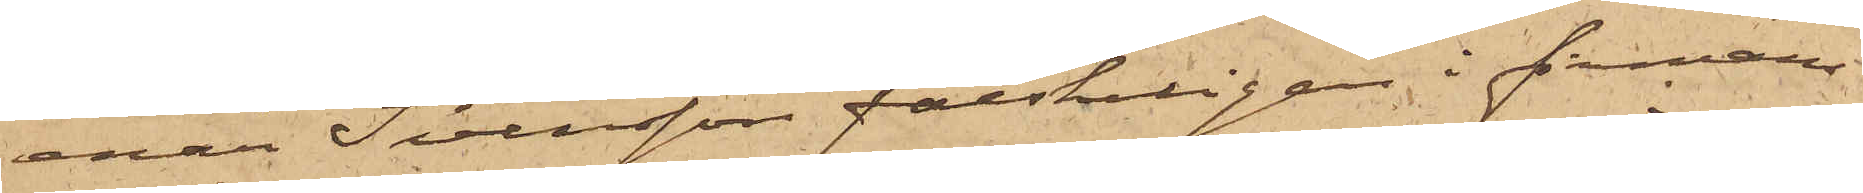enär Svensson falskeligen i fimans
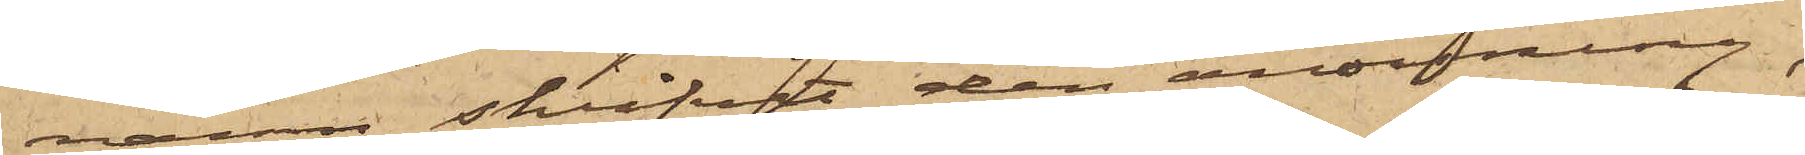namn skrifvit den anvisning,
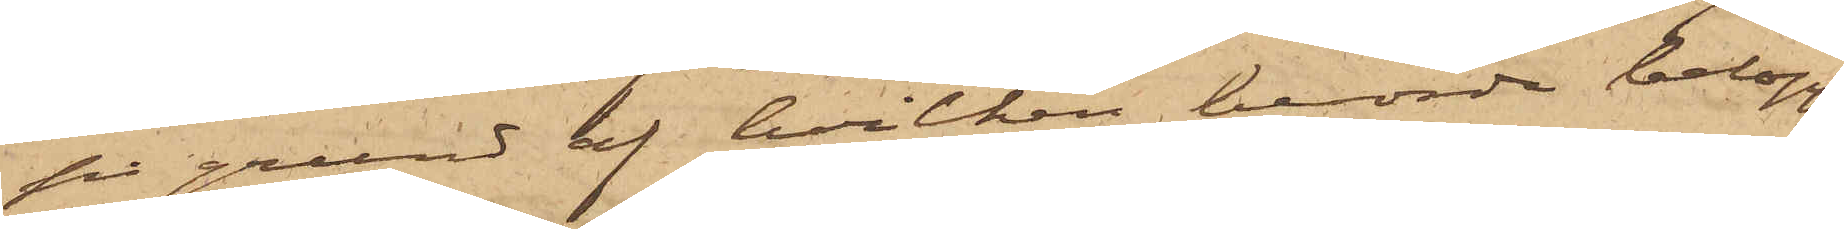på grund af hvilken berörde belopp
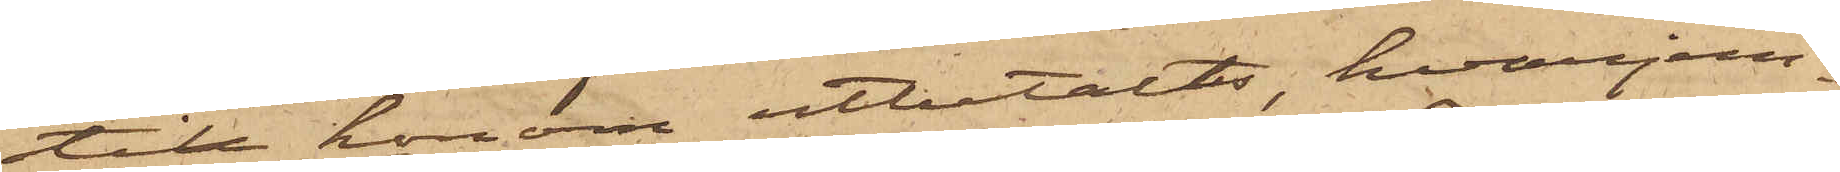till honom utbetalts, hvarjem¬
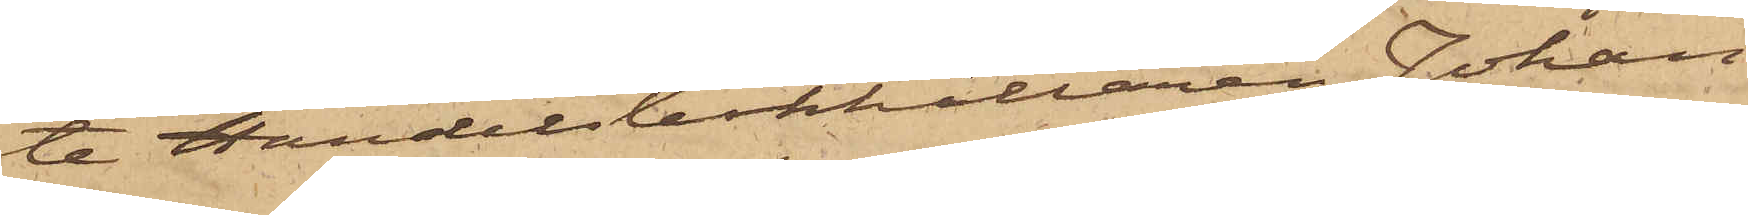te Handelsbokhållaren Johan
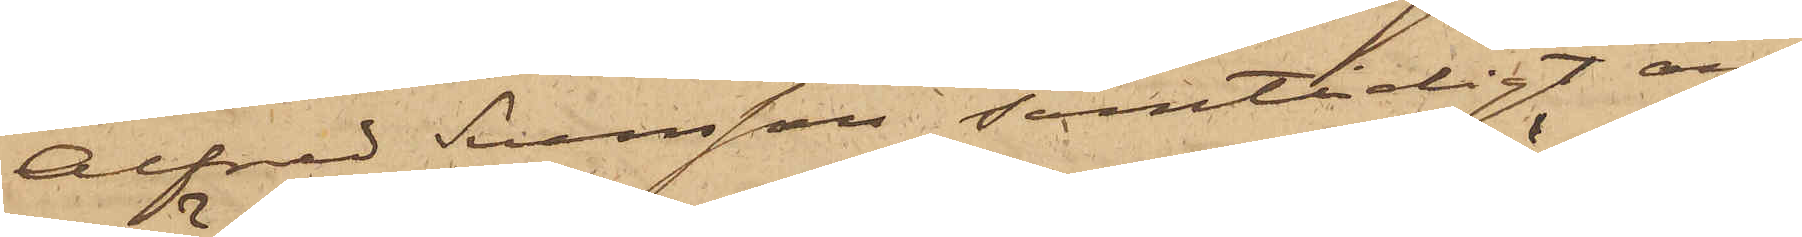Alfred Svensson samtidigt an¬
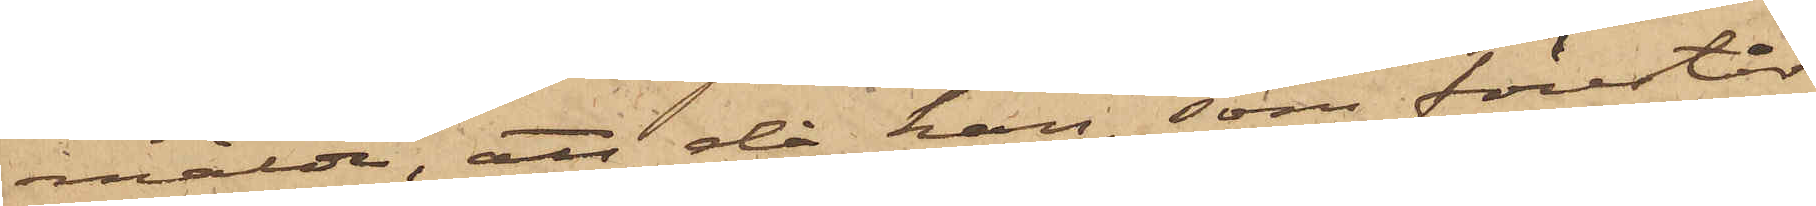mälde, att då han, som förestår
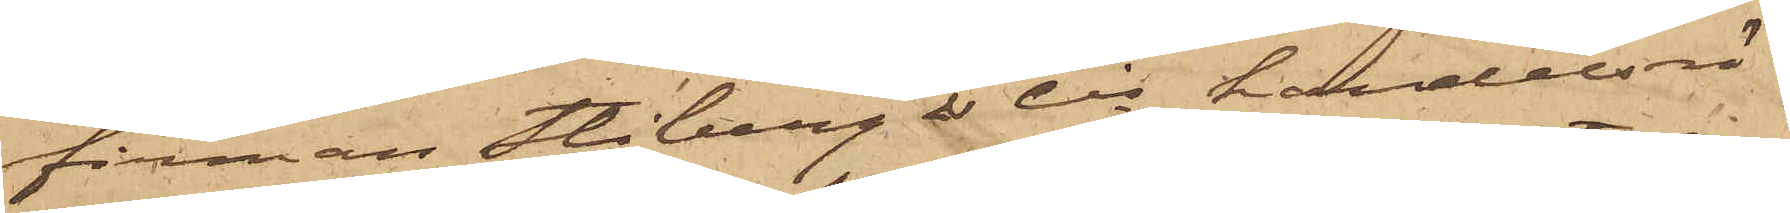firman Stiberg & Cis handelsrö¬
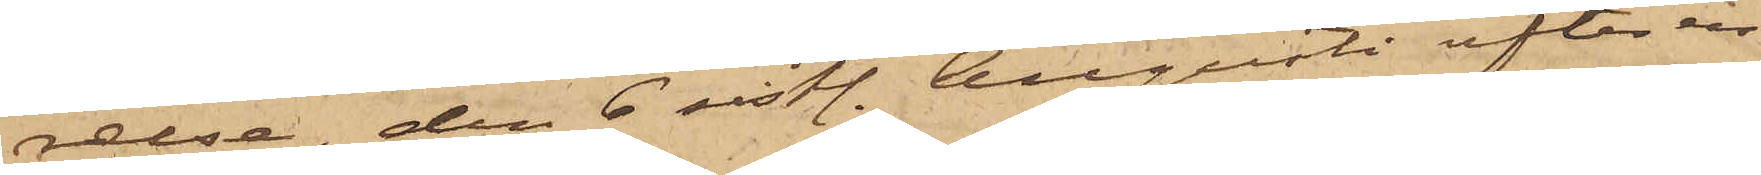relse, den 6 sistl. Augusti efter en
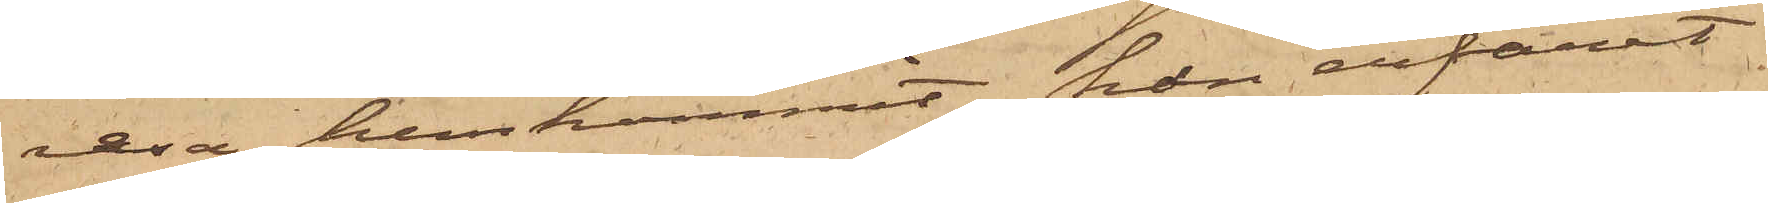resa hemkommit, han erfarit
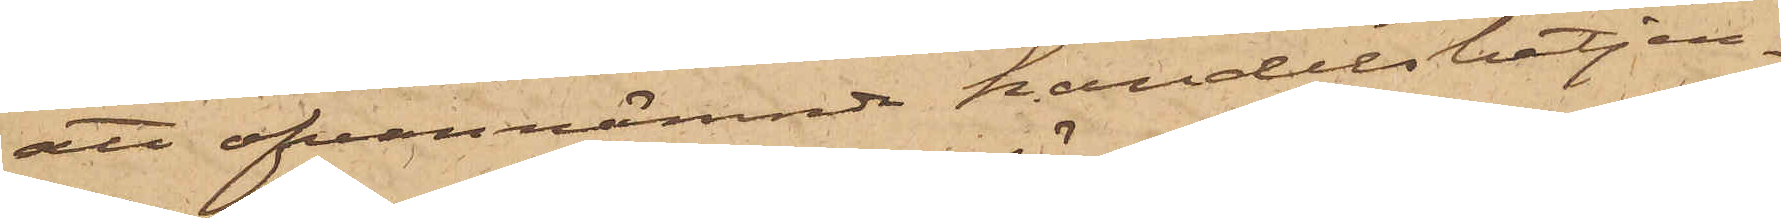att ofvannämnde handelsbetjen¬
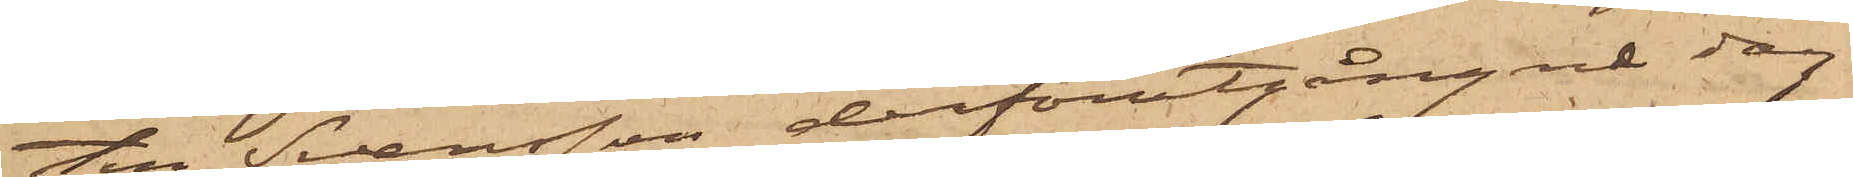ten Svensson derförutgångne dag
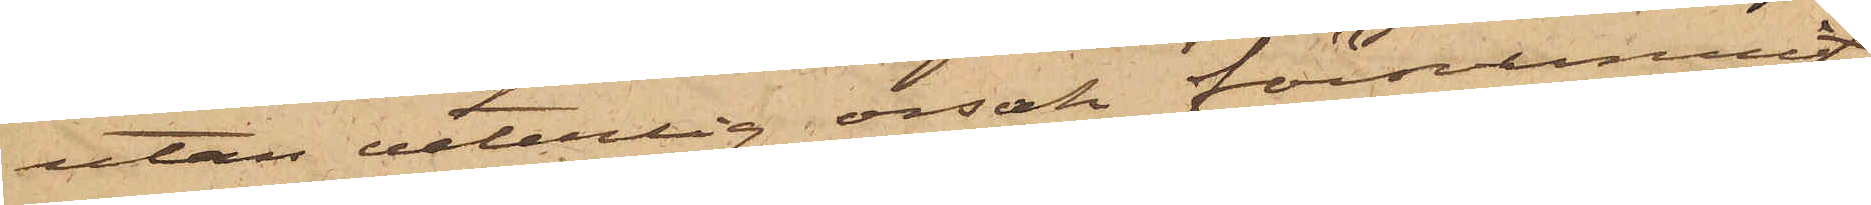utan veterlig orsak försvunnit;
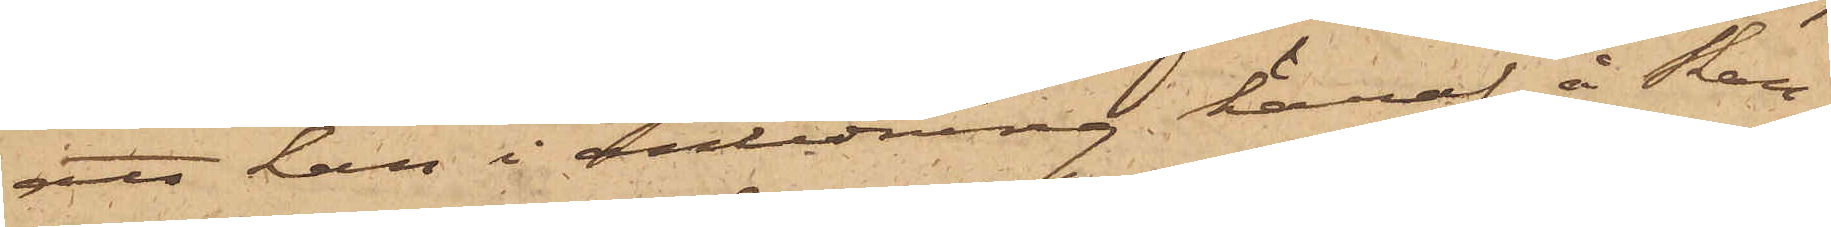att han i anledning häraf å Skan¬
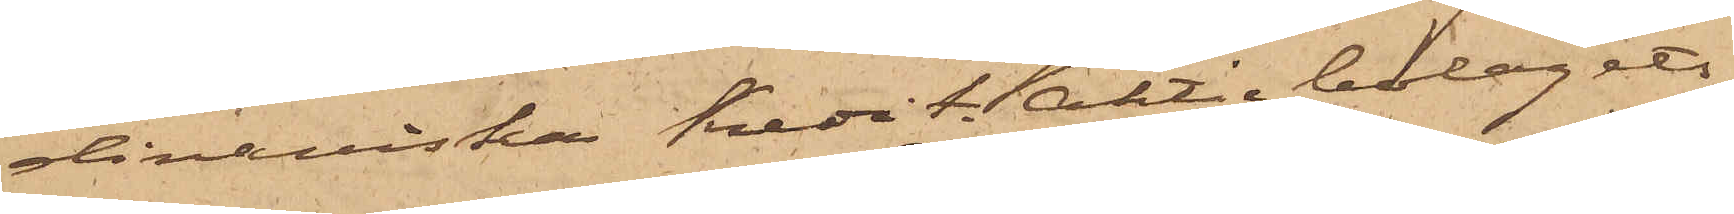dinaviska Kredit Aktiebolagets
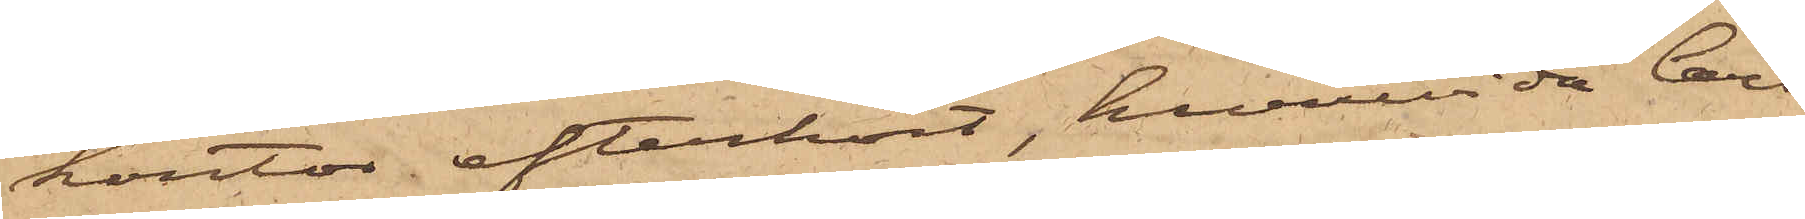kontor efterhört, huruvida Carl
